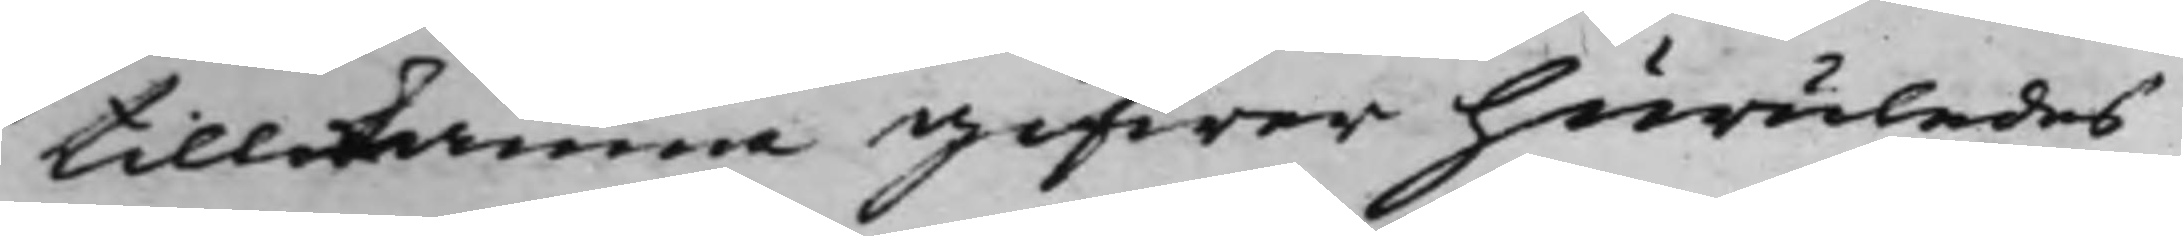tillkänna gifwer huruledes
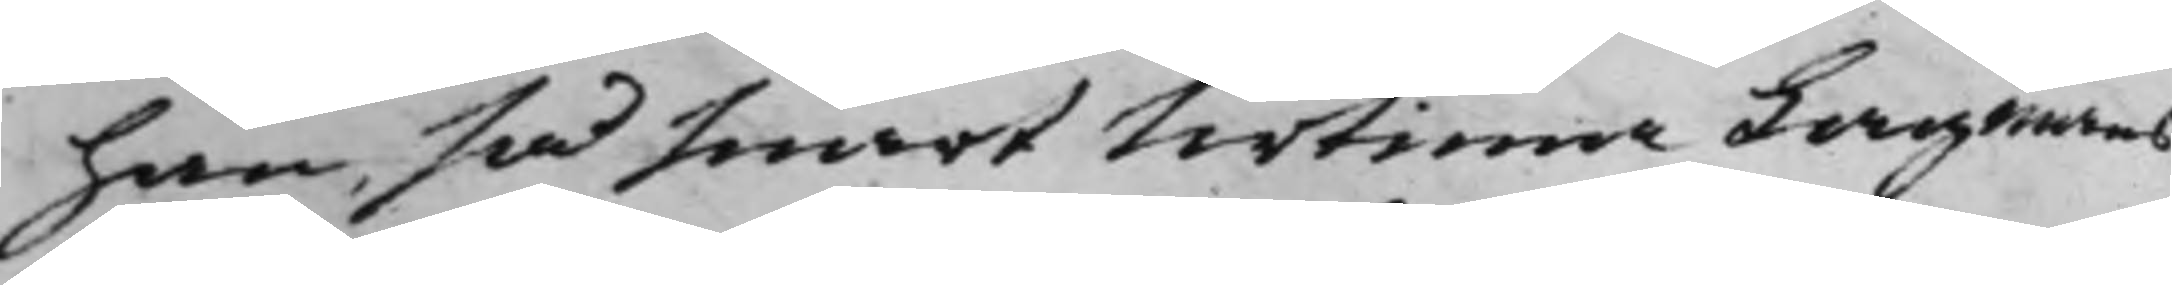han, så snart Urtima Lagmans¬
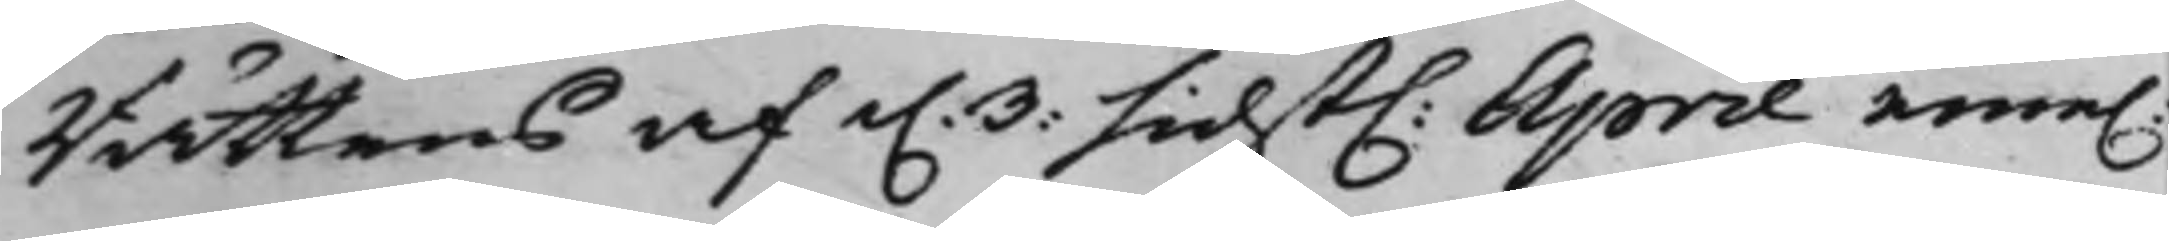Rättens af d. 3: sidst. April eme.
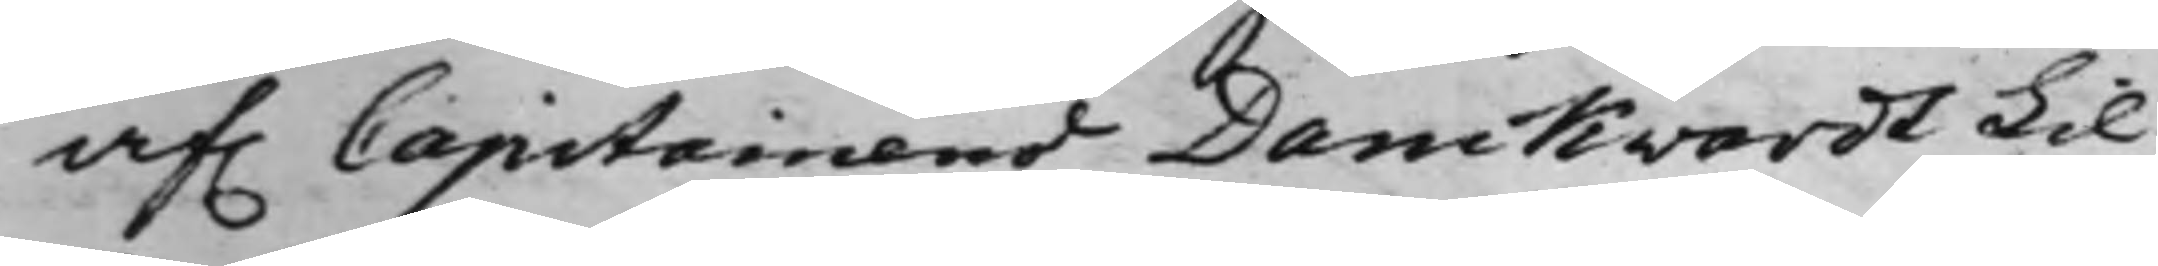af. Capitainens Danckwardt Lil¬
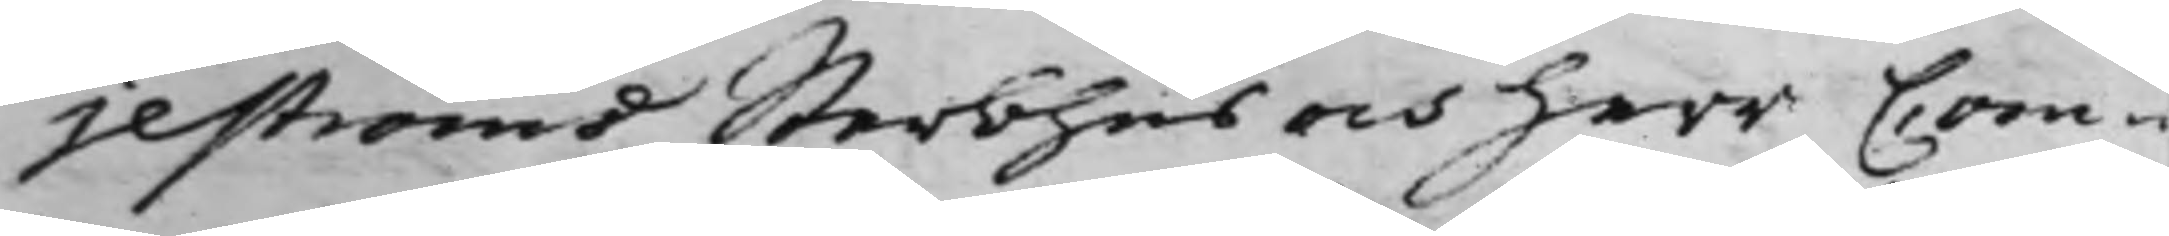jeströms Sterbhus och Herr Com¬
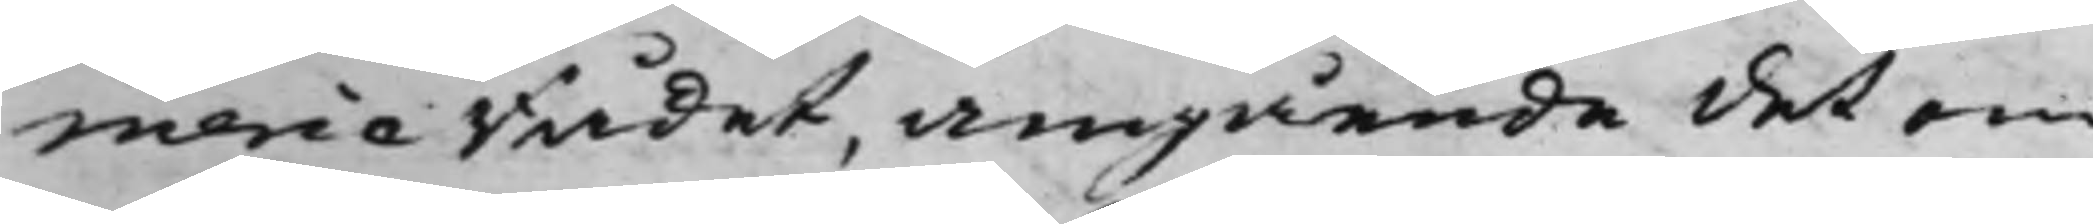merce Rådet, angående det om
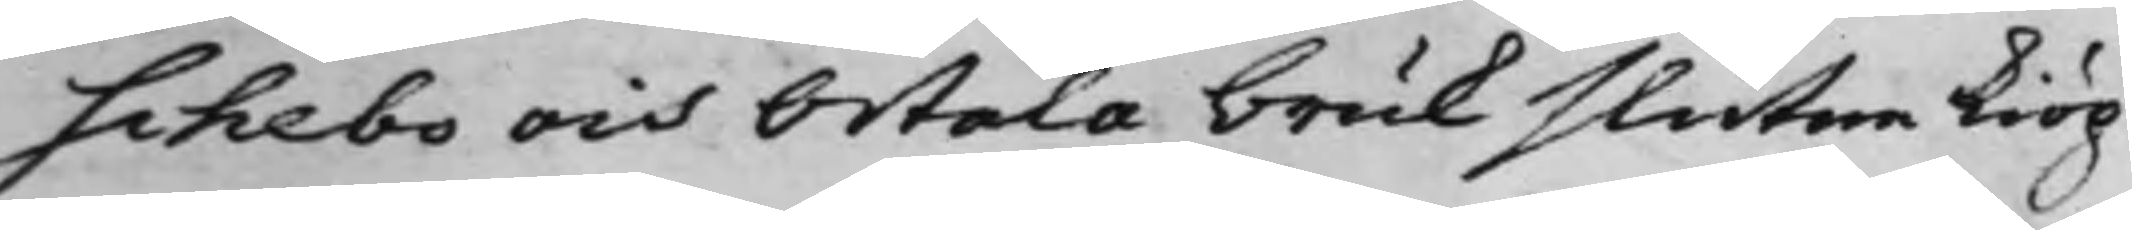Schebo och Ortala bruk slutne kiöp
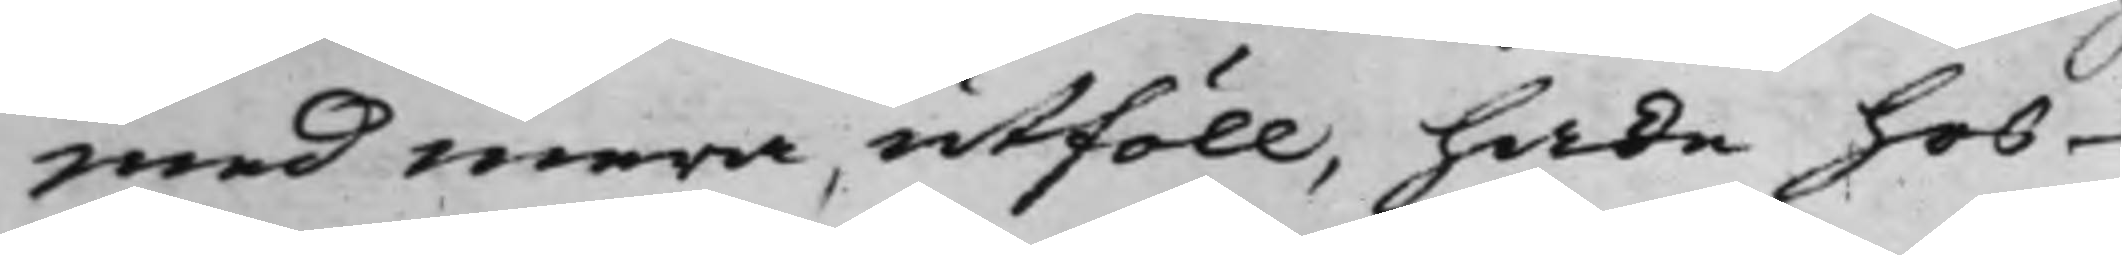med mera, utföll, hade hos
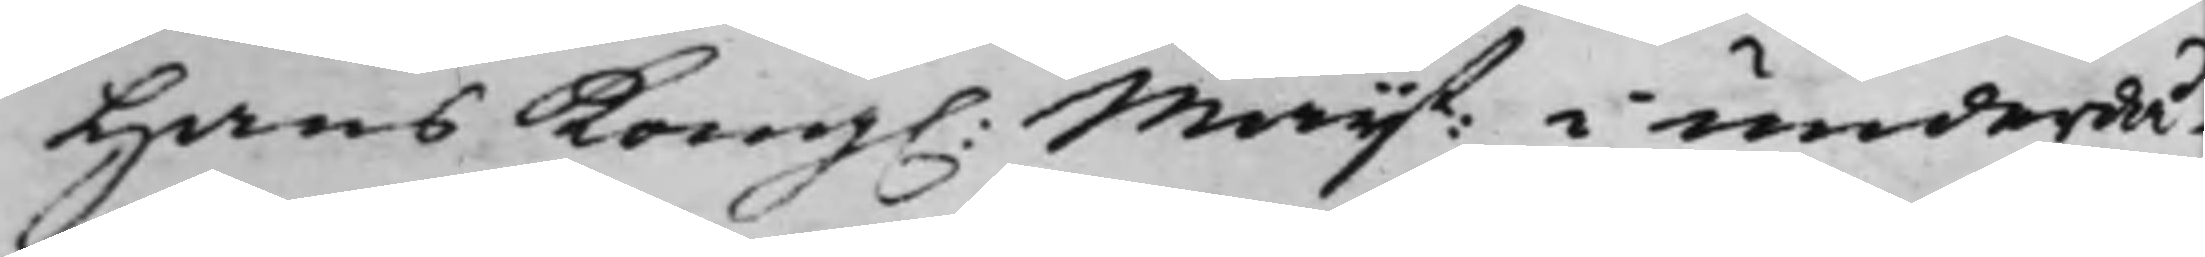Hans Kong. Maij:t i underdå¬
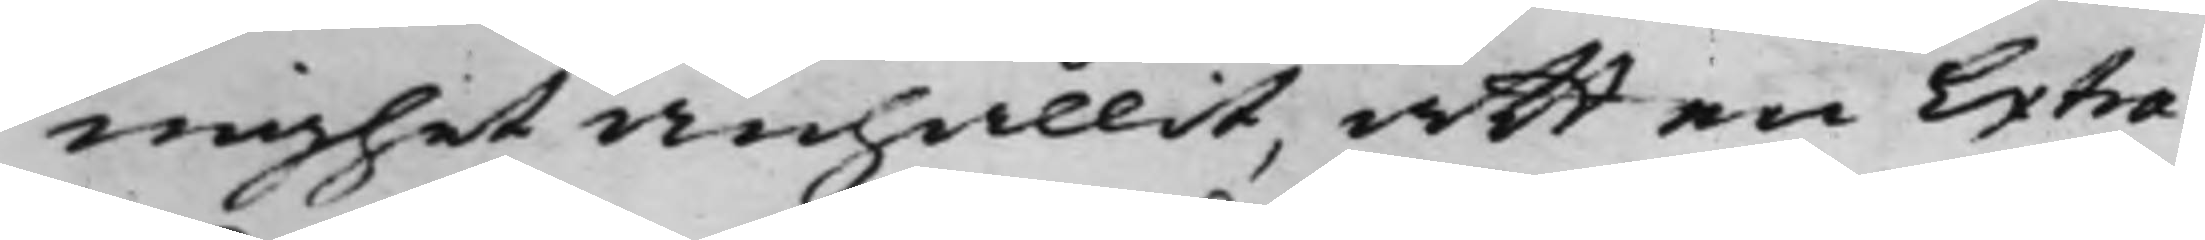nighet anhållit, att en Extra¬
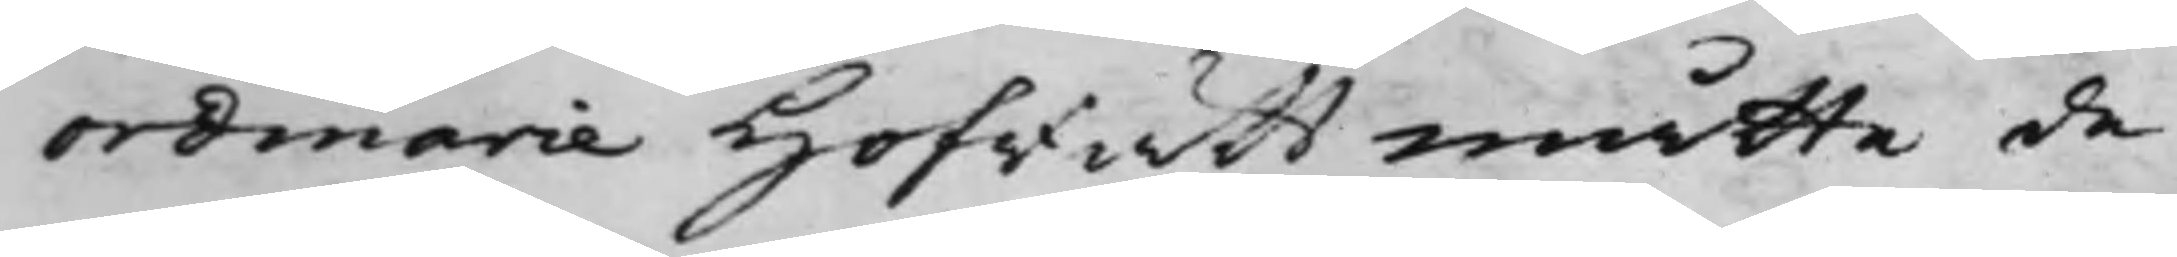ordinarie Hofrätt måtte de
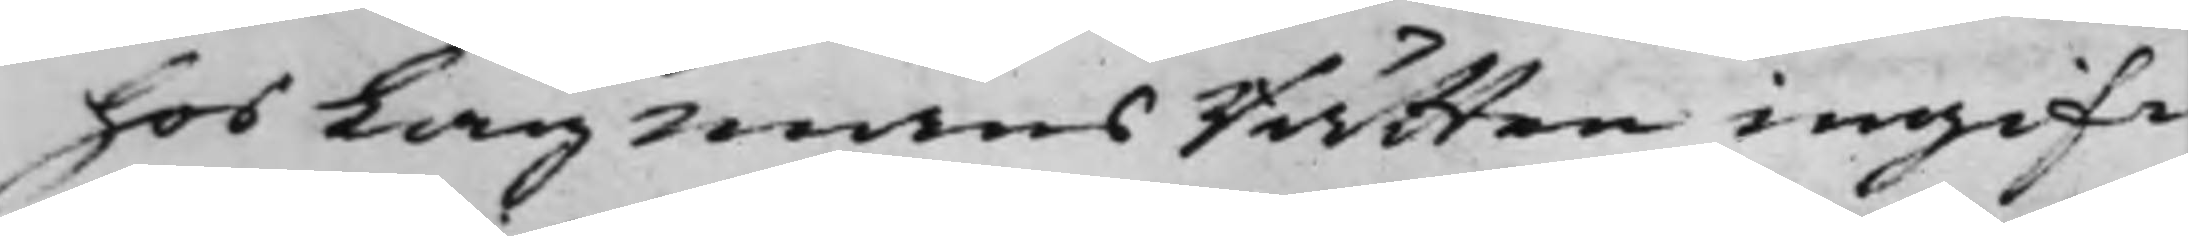hos LagmansRätten ingif¬
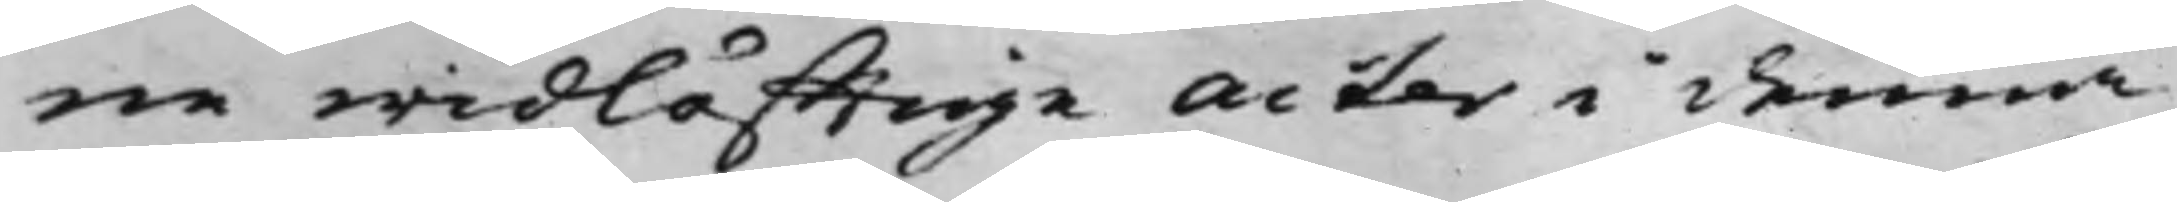ne widlöfftige Acter i denna
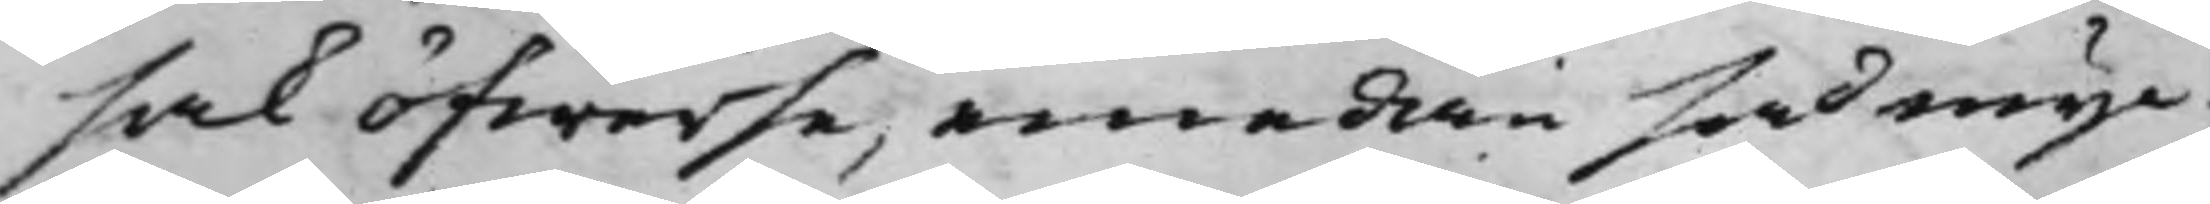sak öfwerse, emedan så myc¬
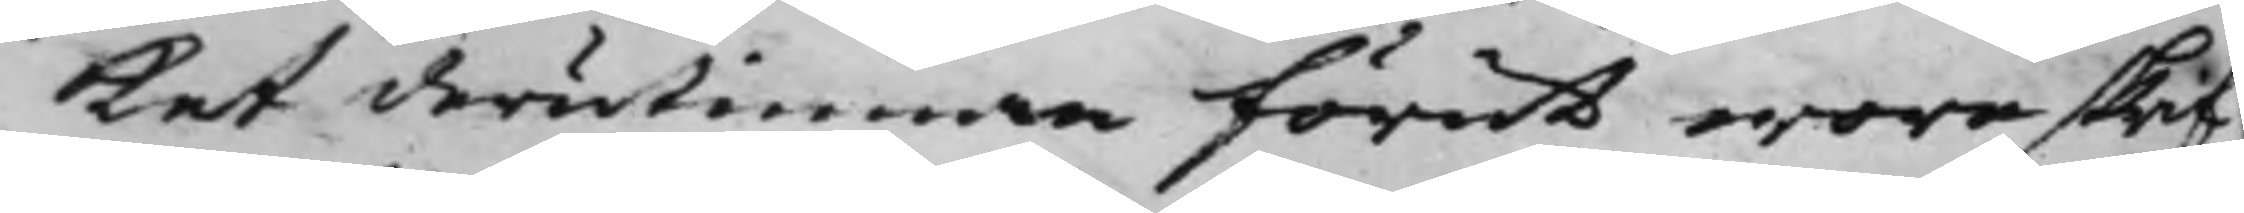ket derutinnan förut wore skrif¬
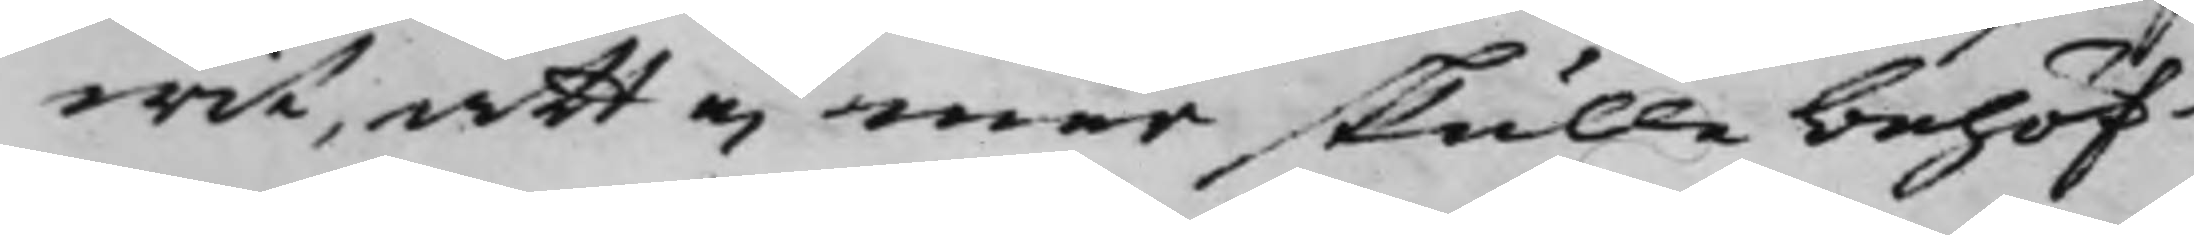wit, att ej mer skulle behöf¬
